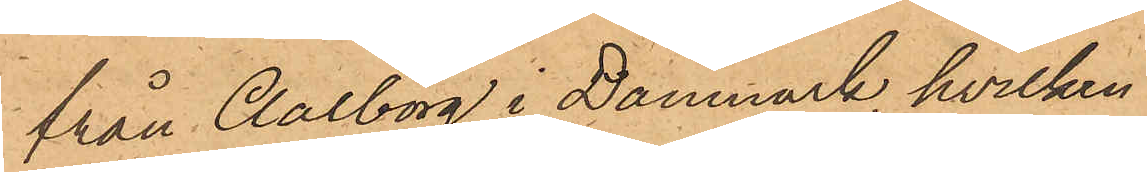från Aalborg i Danmark, hvilken
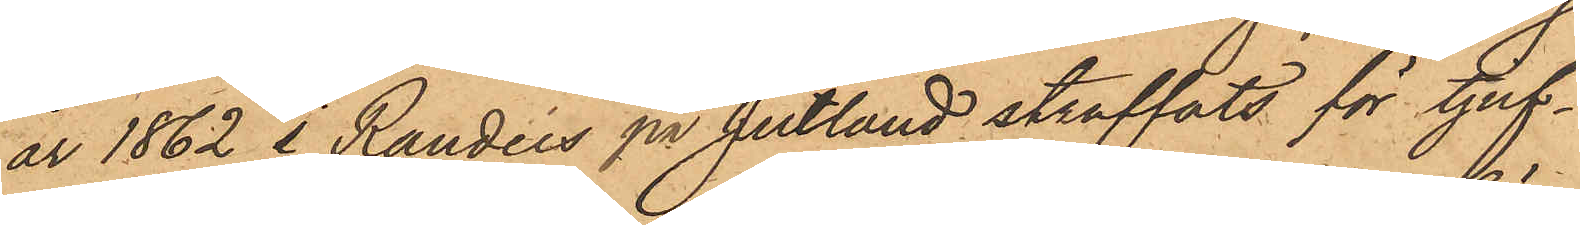år 1862 i Randers på Jutland straffats för tjuf¬
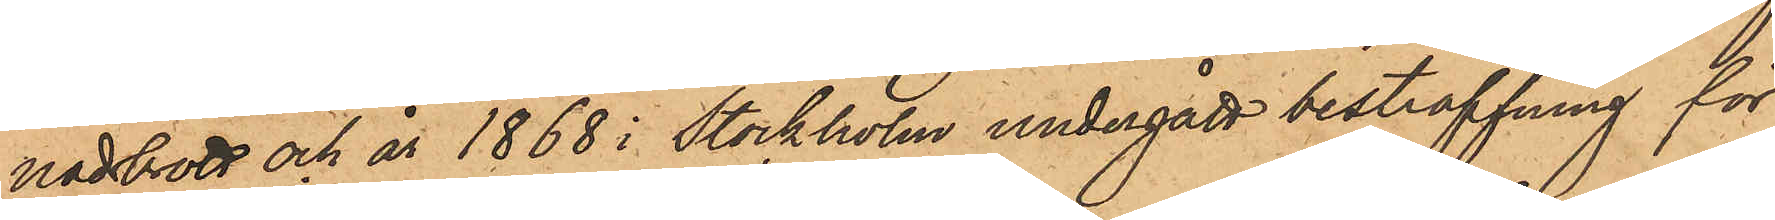nadsbrott och år 1868 i Stockholm undergått bestraffning för
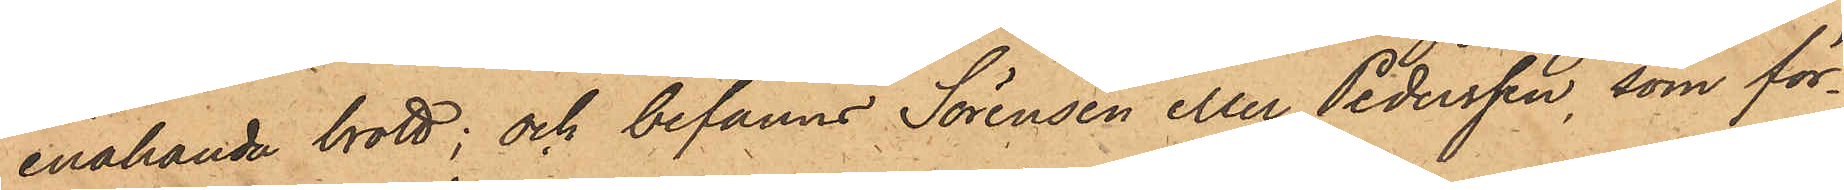enahanda brott; och befanns Sörensen eller Pedersson, som för¬
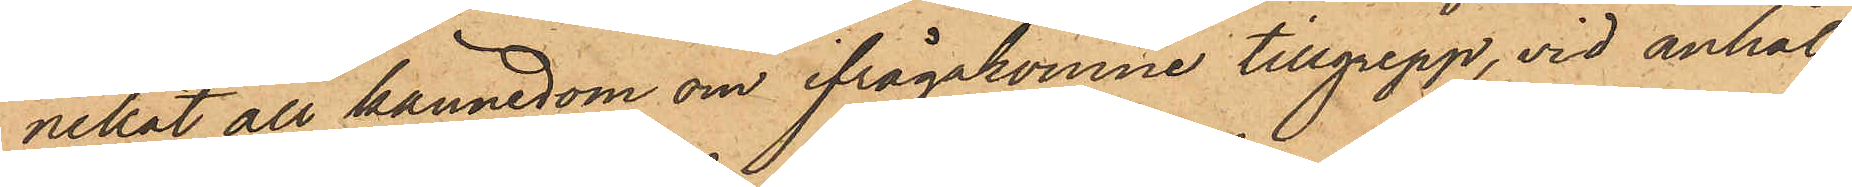nekat all kännedom om ifrågakomne tillgrepp, vid anhål¬
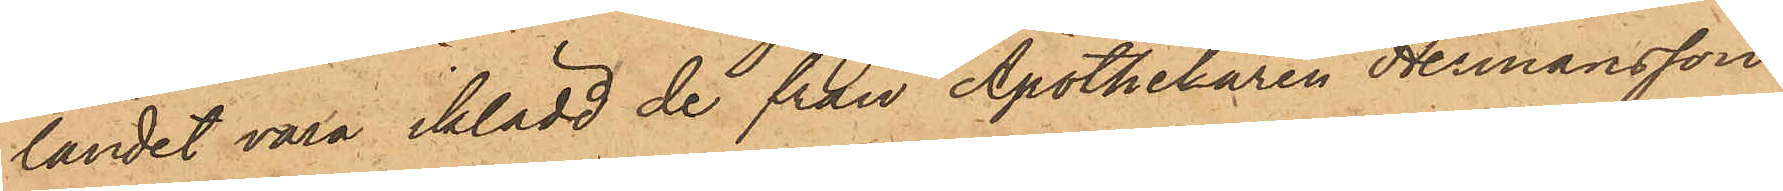landet vara iklädd de från Apothelaren Hermansson
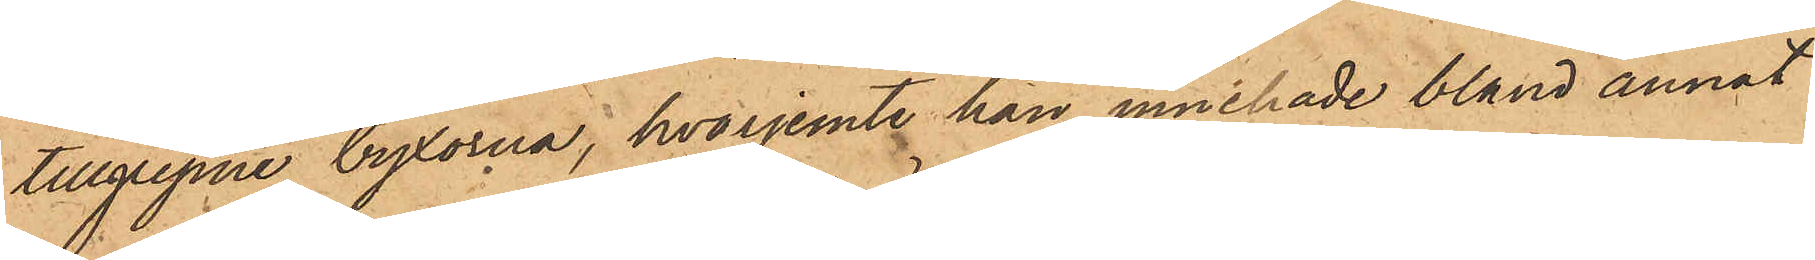tillgripne byxorna, hvarjemte han innehade bland annat
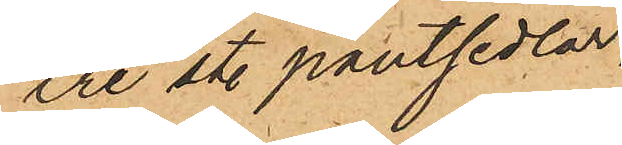tre st. pantsedlar
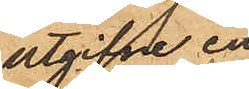utgifne en
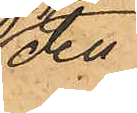den¬
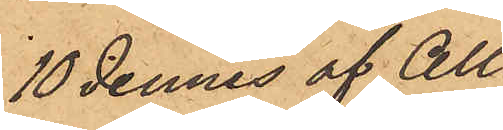10 dennes af All¬
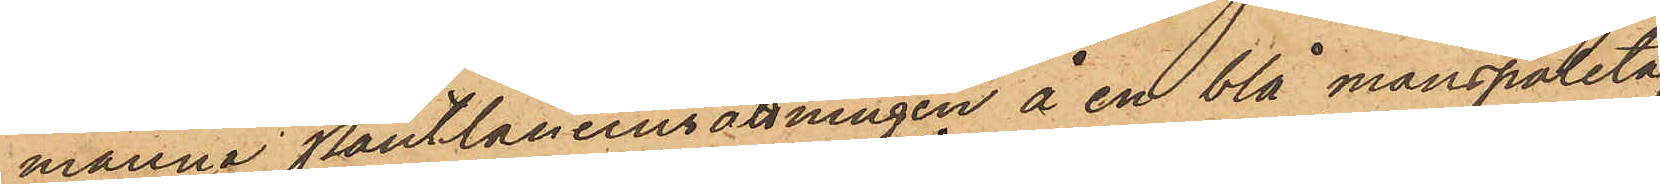männa Pantlåneinsättningen å en blå manspaletå,
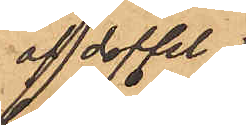af doffel
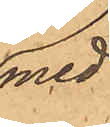med
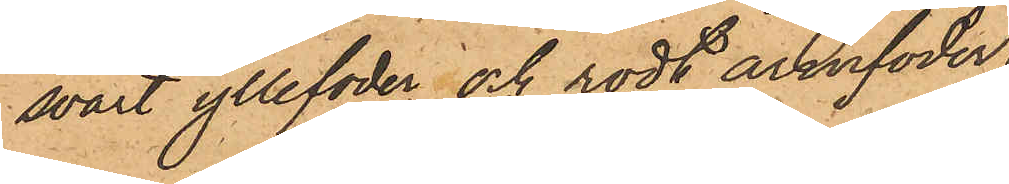svart yllefoder och rödt armfoder
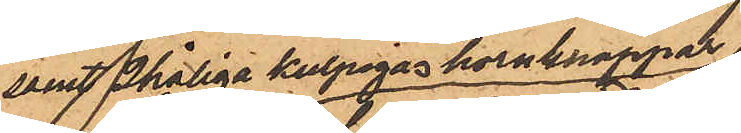samt 2håliga kulpigas hornknappar;
